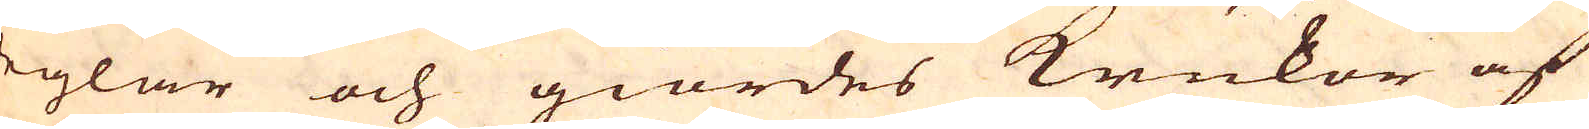deglar och giordes krukor af
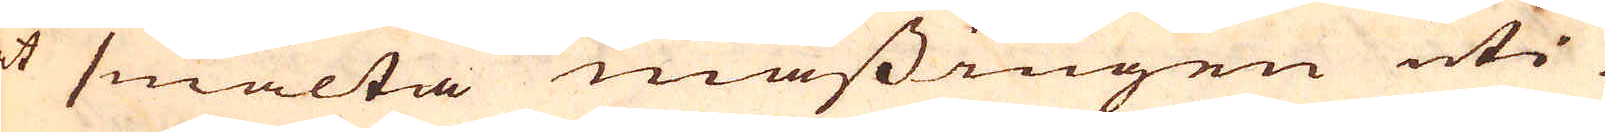at smälta mässingen uti
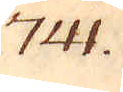741.
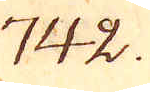742.
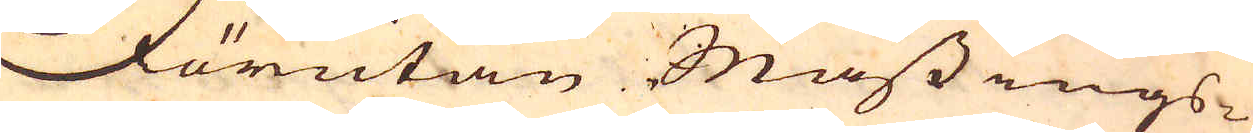Förutan Mässings-
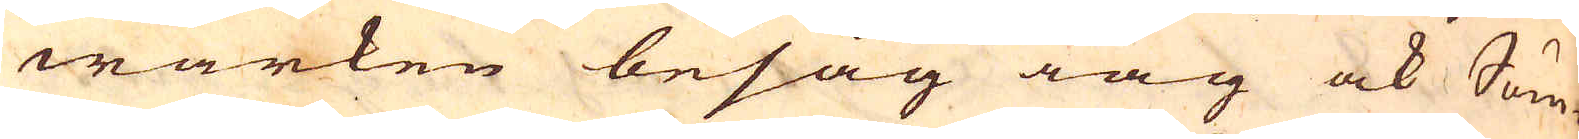wärken besåg iag ock Söm-
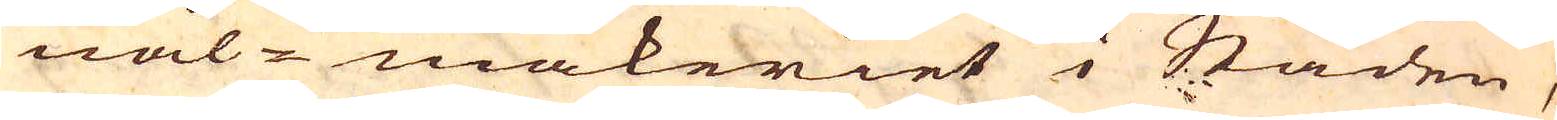nål-makeriet i Staden,
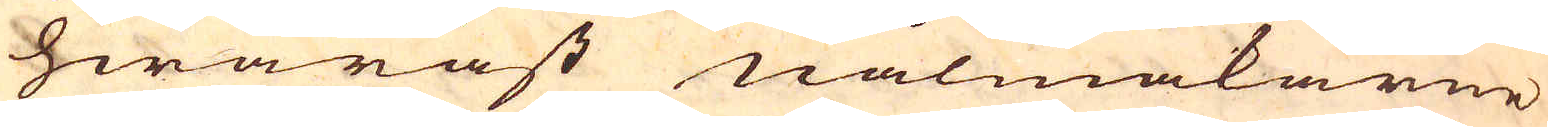hwaräst nålmakarne
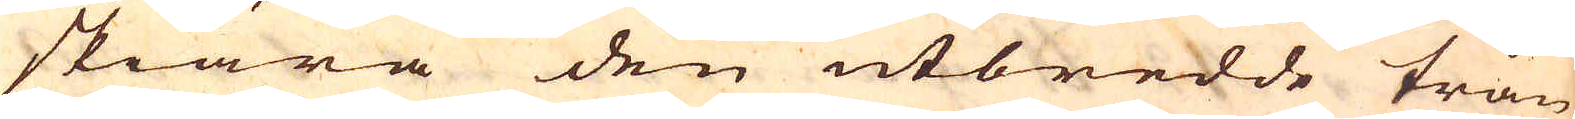skiära den utbredde trån
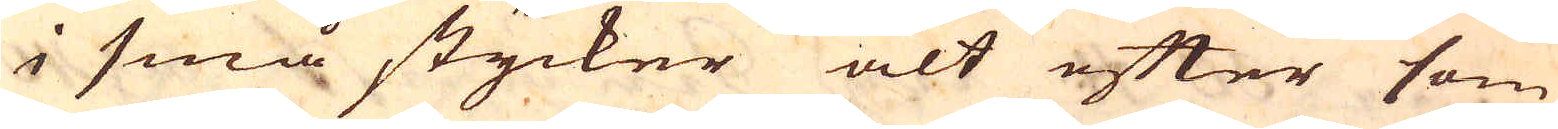i små stycker alt efter som
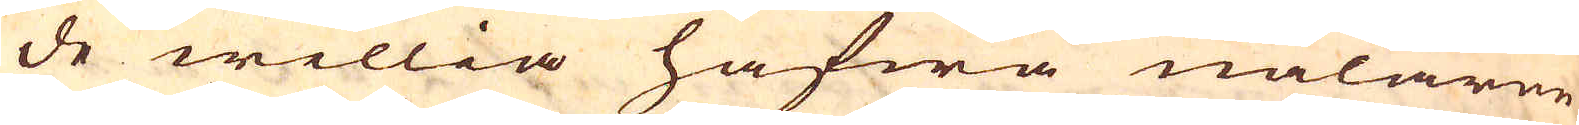de willia hafwa nålarne
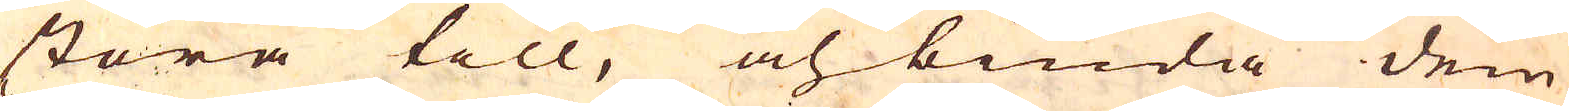stora till, och binda dem
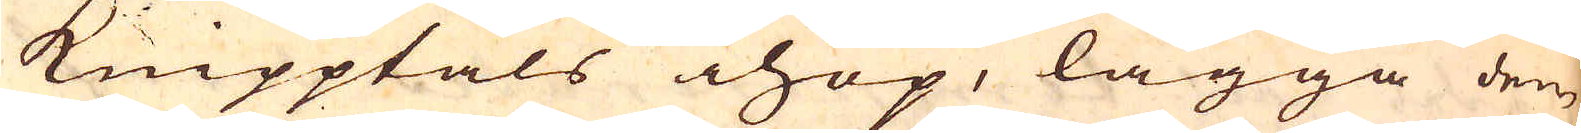knipptals ihop, lägga den
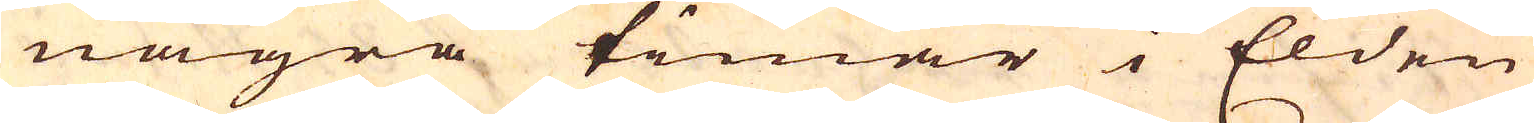några timar i Elden
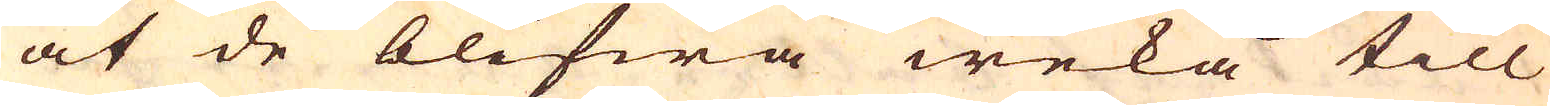at de blifwa weka till
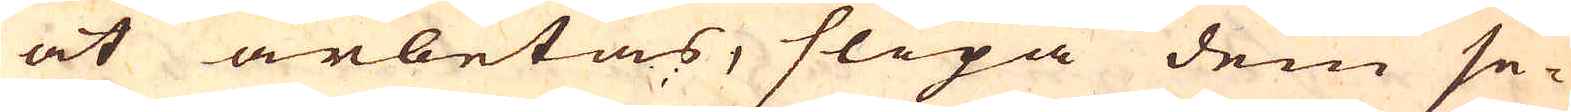at arbetas, slipa dem se-
